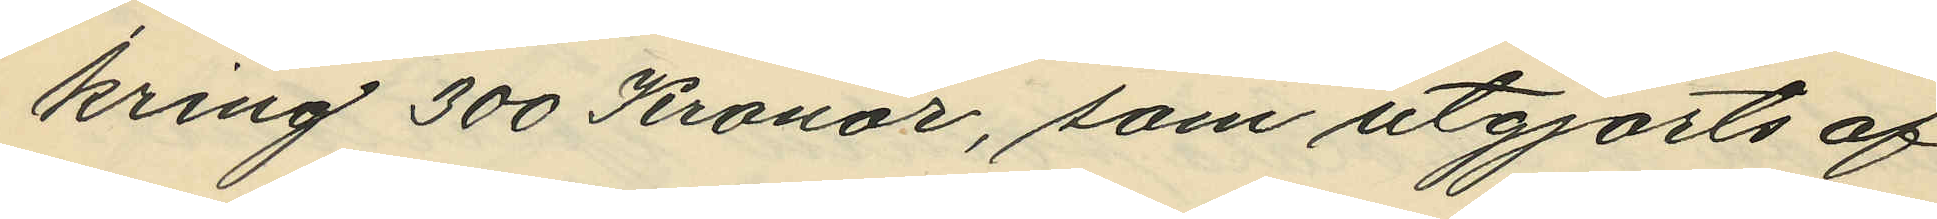kring 300 Kronor, som utgjorts af
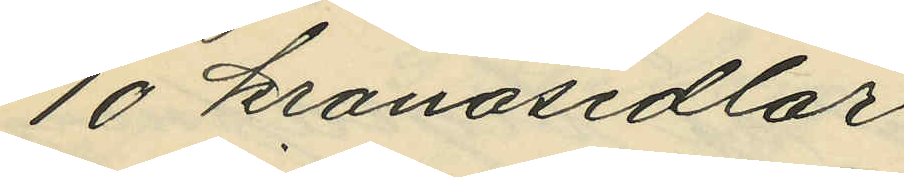10 kronosedlar.
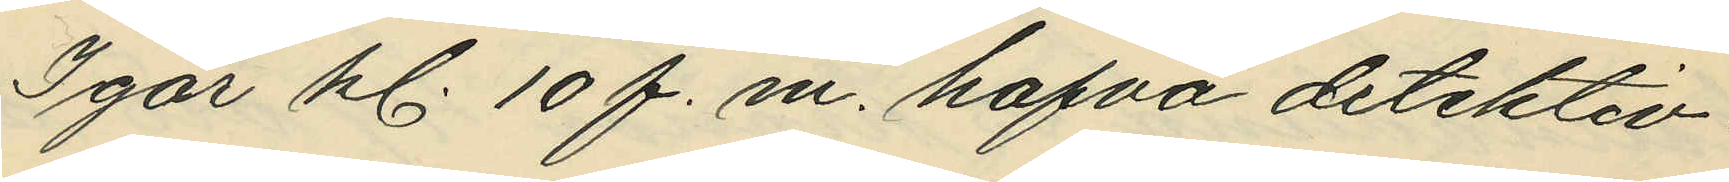Igår kl. 10 f. m. hafva detektiv¬
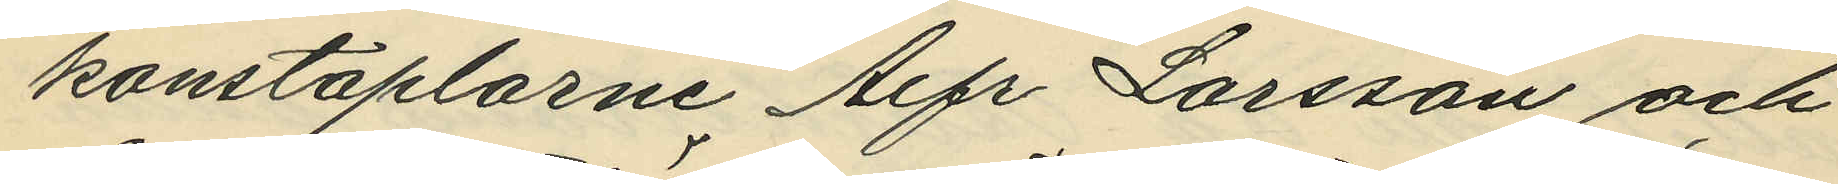konstaplarne Alfr. Larsson och
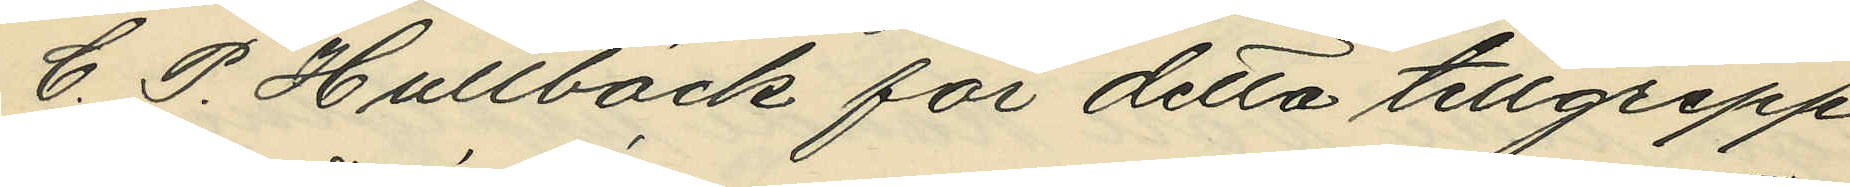C. P. Hultbäck för detta tillgrepp
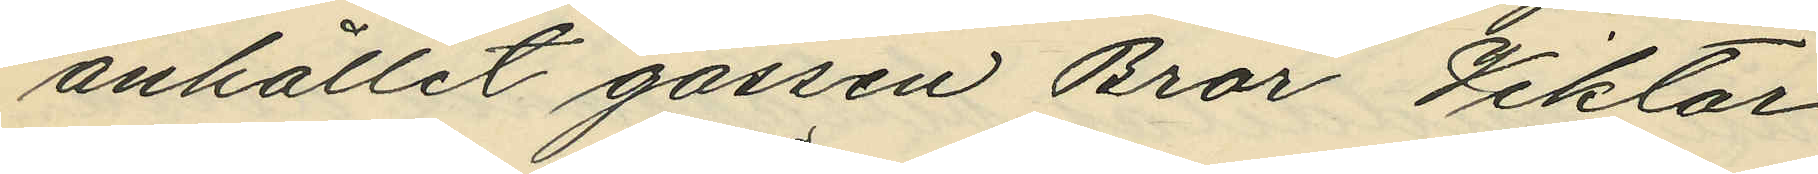anhållit gossen Bror Viktor
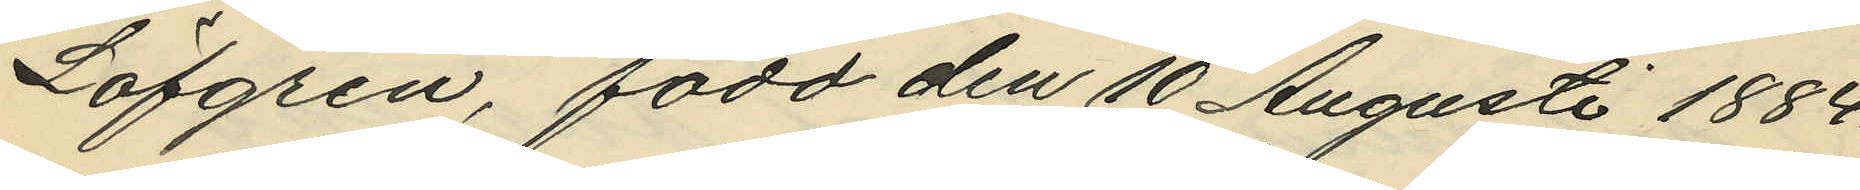Löfgren, född den 10 Augusti 1884.
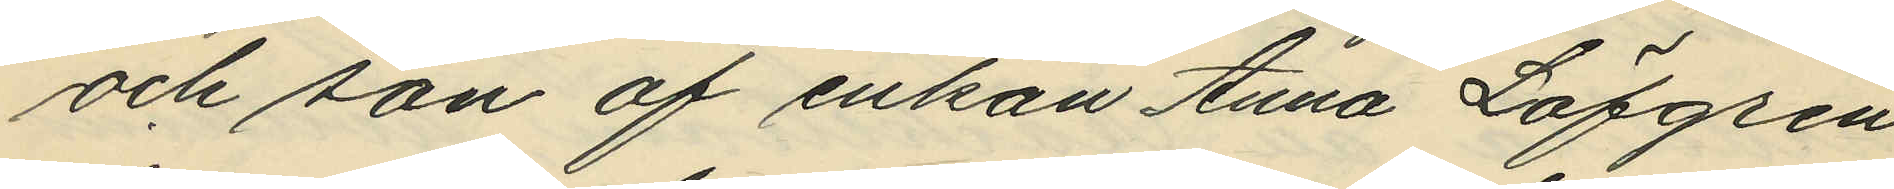och son af enkan Anna Löfgren
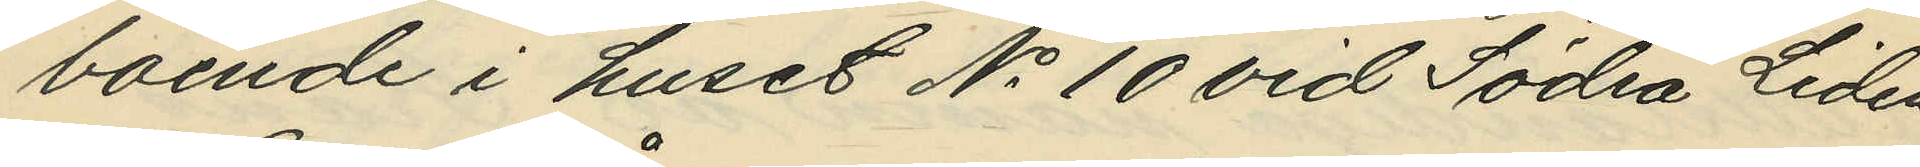boende i huset No 10 vid Södra Liden.
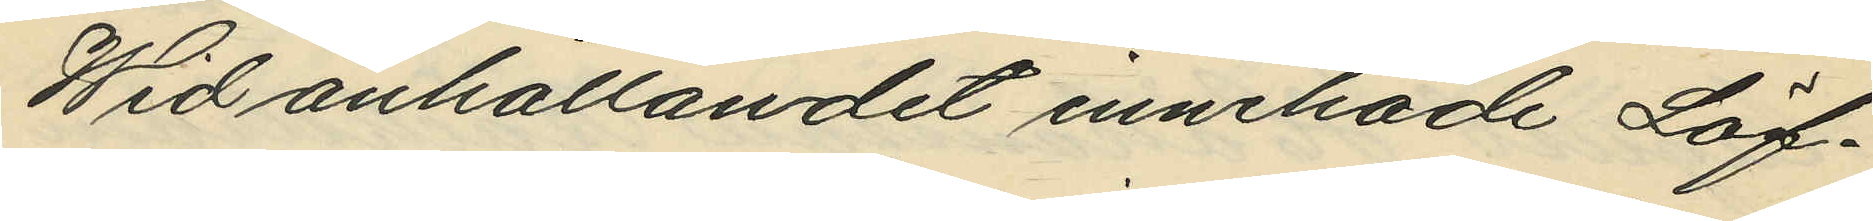Wid anhållandet innehade Löf¬
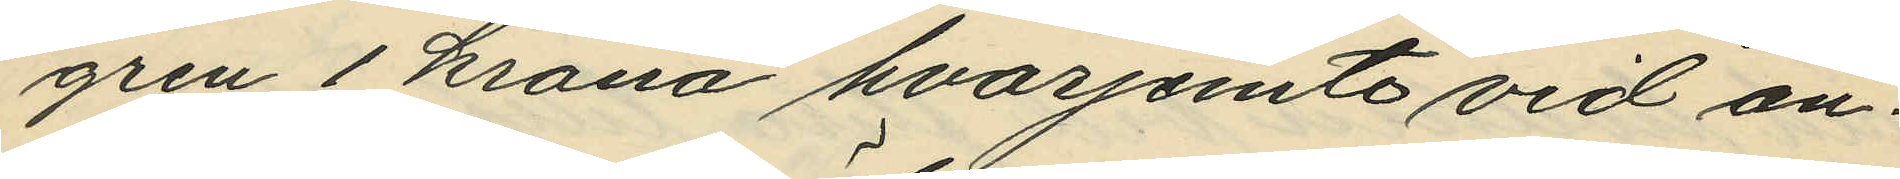gren 1 krona hvarjemte vid an¬
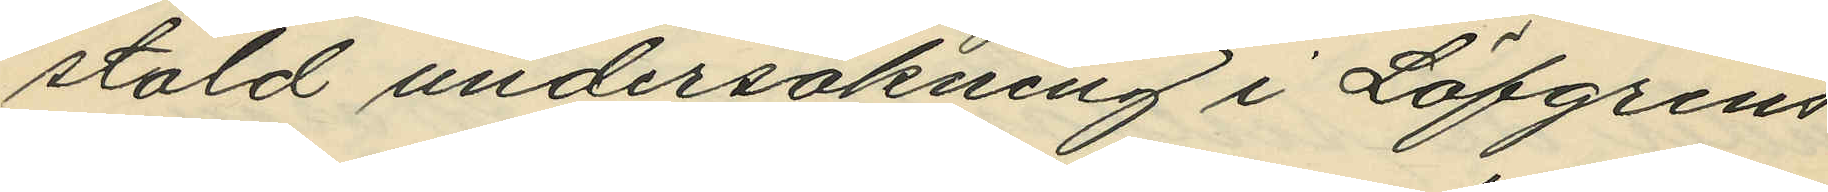stäld undersökning i Löfgrens
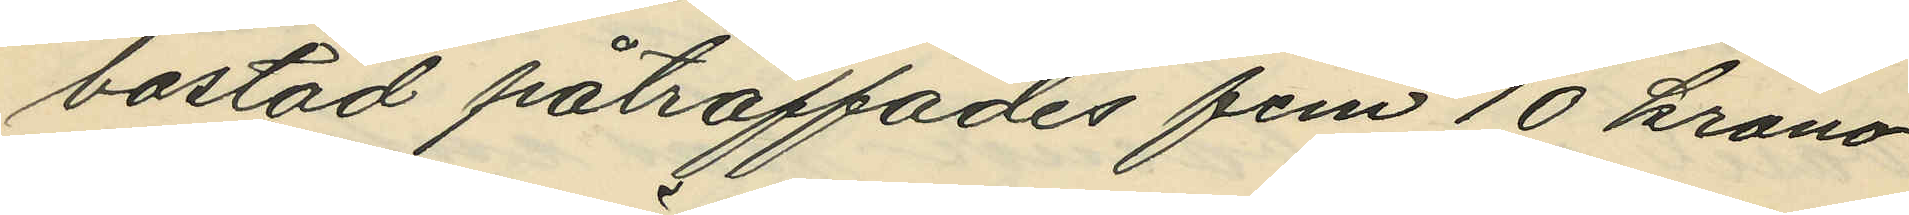bostad påträffades fem 10 krono¬
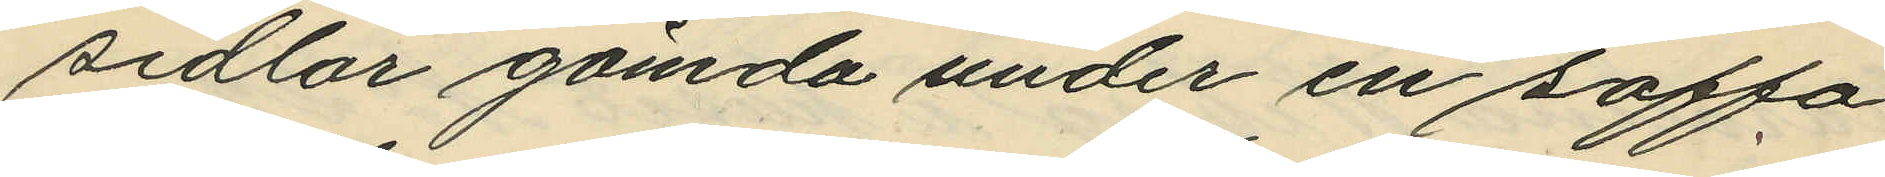sedlar gömda under en soffa
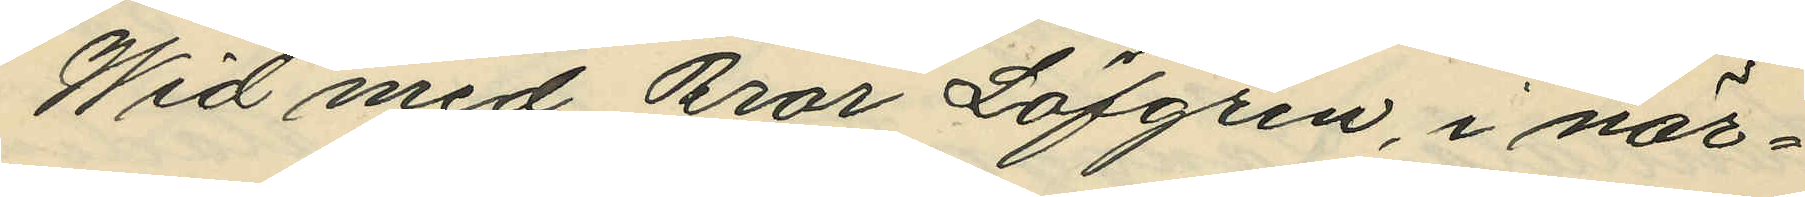Wid med Bror Löfgren, i när¬
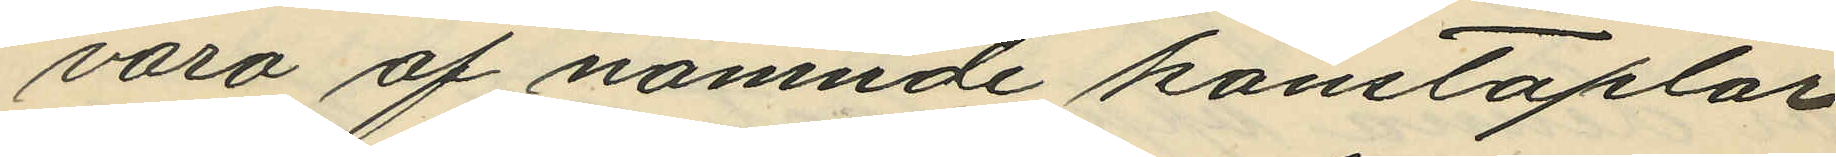varo af nämnde konstaplar
